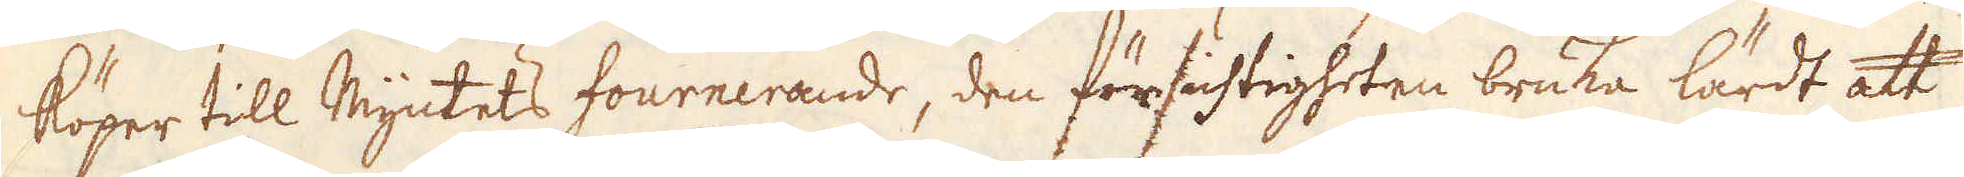köper till myntets fournerande, den försichtigheten bruka lärdt att
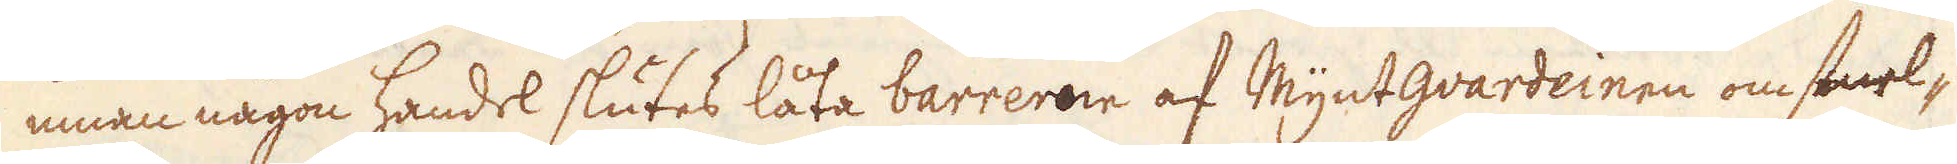innan någon handel slutes låta barreram af Myntquardeinen omsmel-
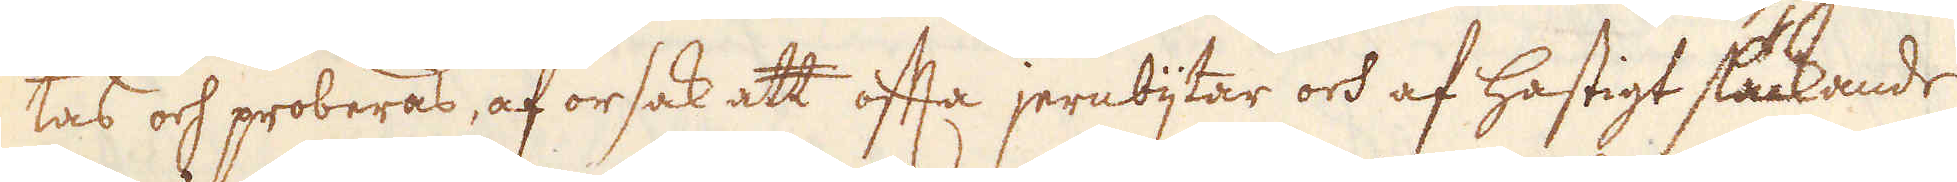tas och proberas, af orsak att ofta jernbijtar och af hastigt stickande
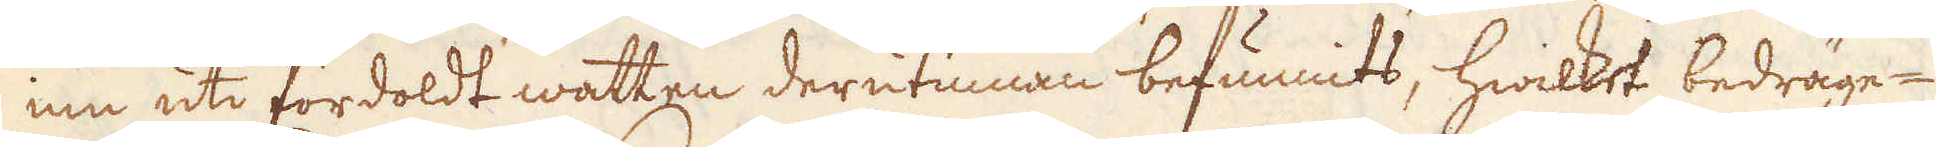ine uti fördoldt watten derutinnan befunnits, hwilket bedräge-
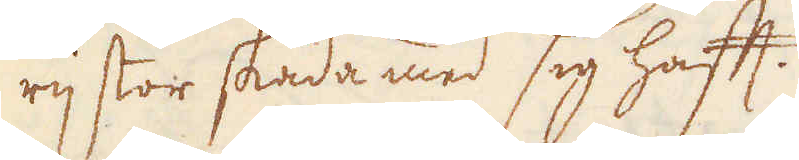rij stor skada med sig haft.
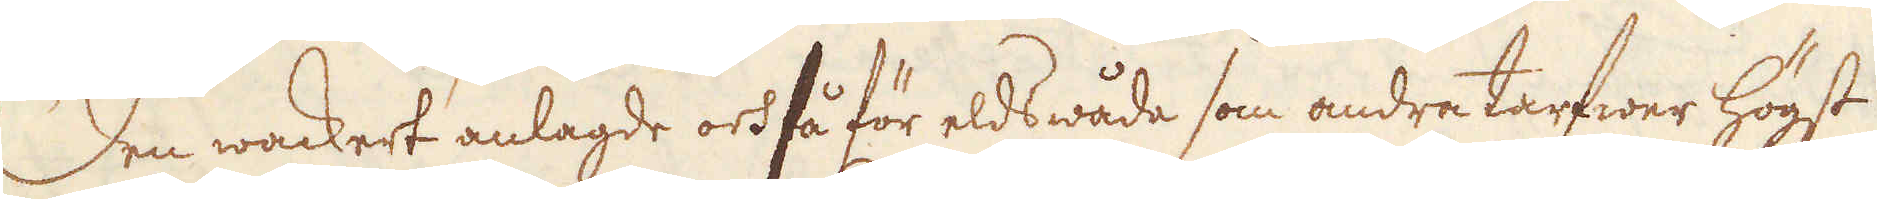Den wackert anlagde ock så för eldswåda som andra tarfwer högst
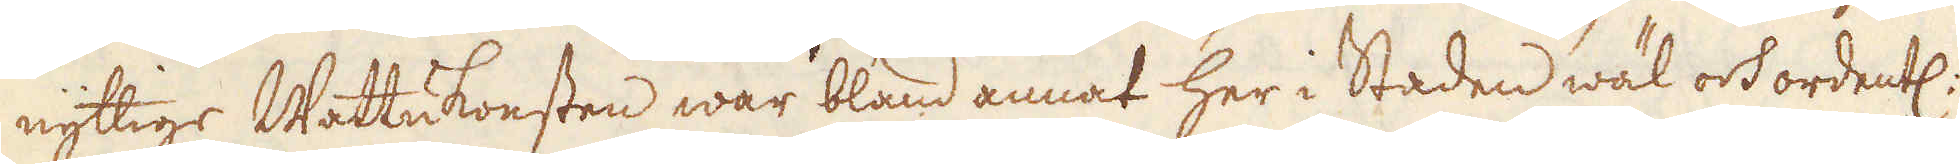nyttige Wattukonsten war bland annat her i Staden wäl ock ordentl:
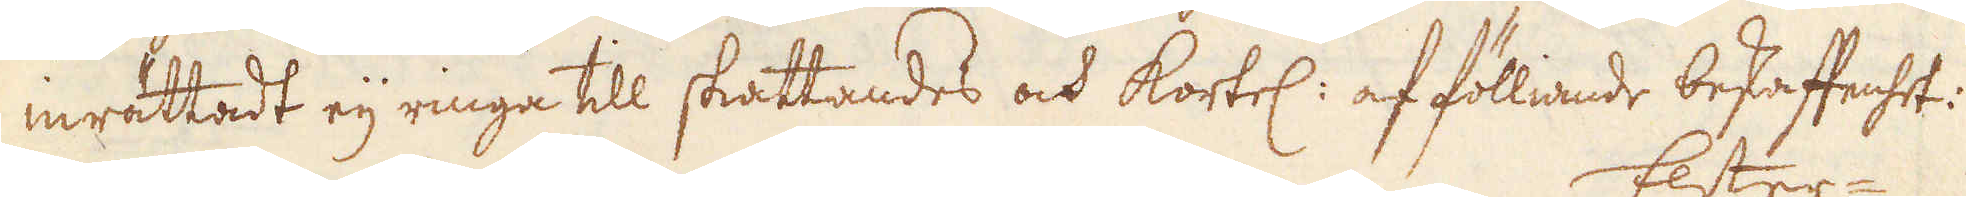inrättedt eij ringa till skattandes och kortel: af fölliade beskaffenhet:
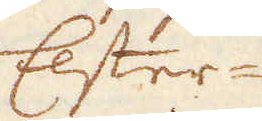Elster-
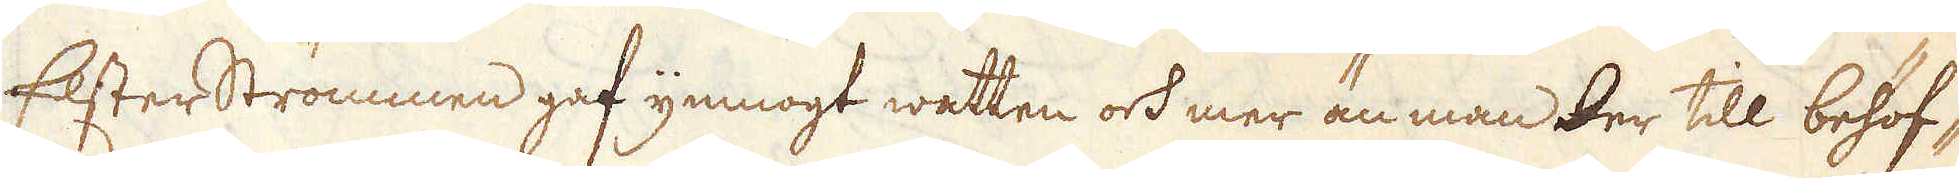Elsterströmmen gaf ymnogt watten oss mer än man der till behöf-
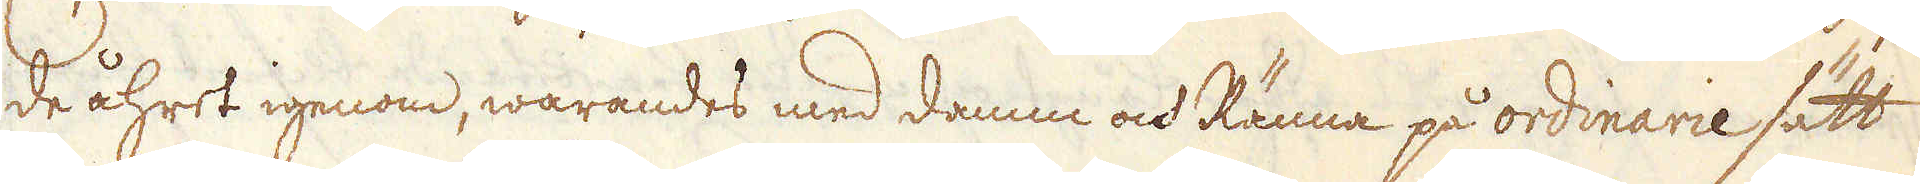de åhret igenom, warandes med damm och Ränna på ordinarie sätt
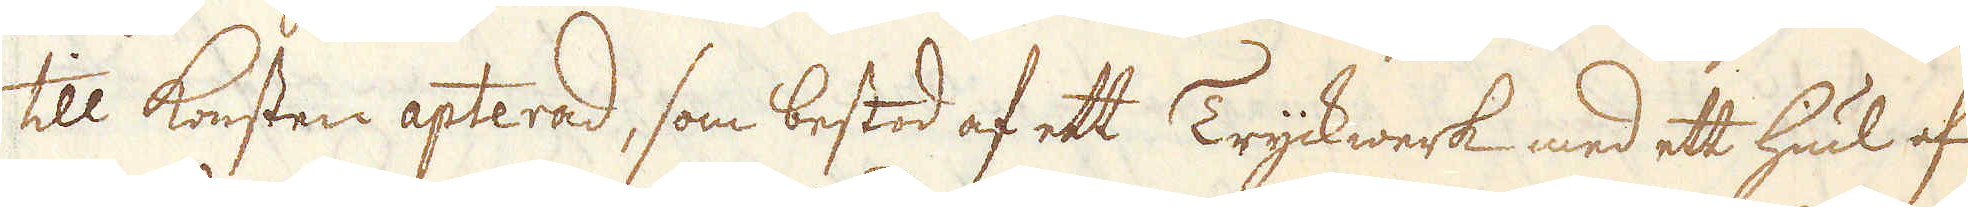till Konsten apterad, som bestod af ett Tryckwerk med ett hiul af
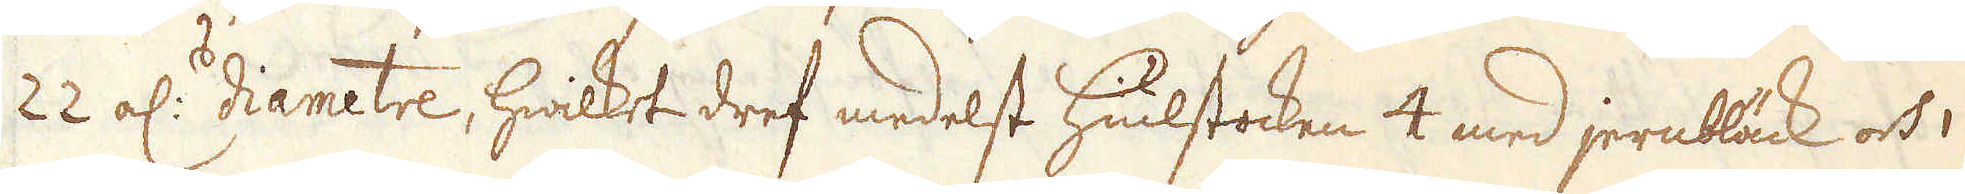22 al:r diametre, hwilket dref medelst hiulstocken 4 med jernbläck och
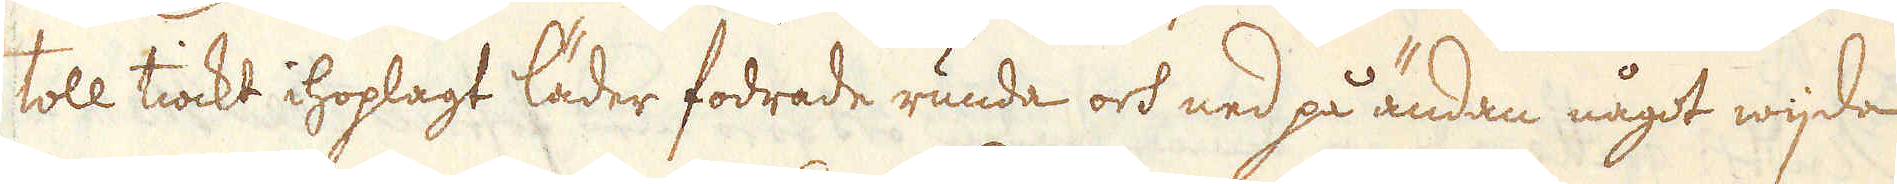toll tiockt ihoplagt läder fodrade runda och ned på ändan något wijda
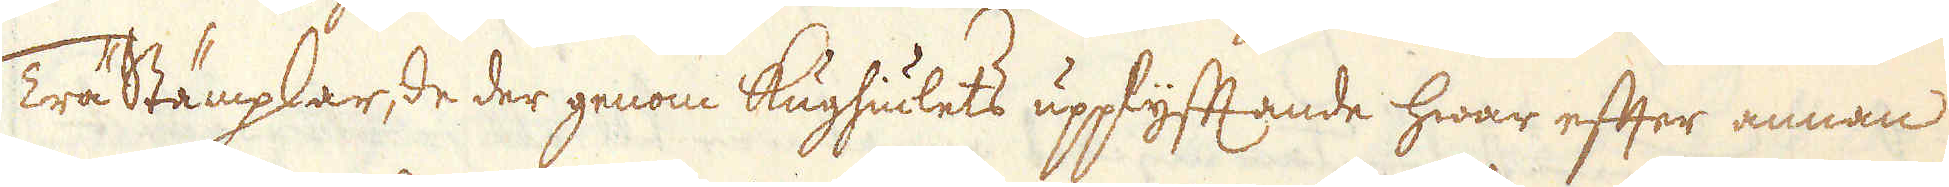Trästämplar, de der genom Kughiulets upplyftande hwar efter annan
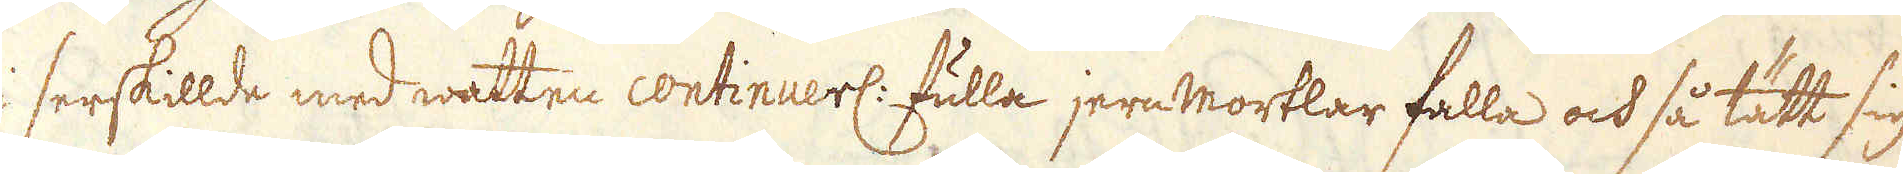i serskillde med watten continuerl: fulla jern mortlar falla och så tätt sig
